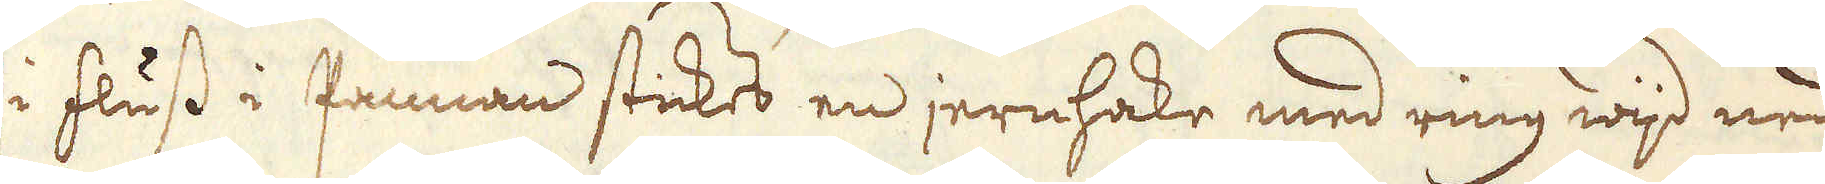i fluss i pannan stickes en jernhake med ring wijd ned
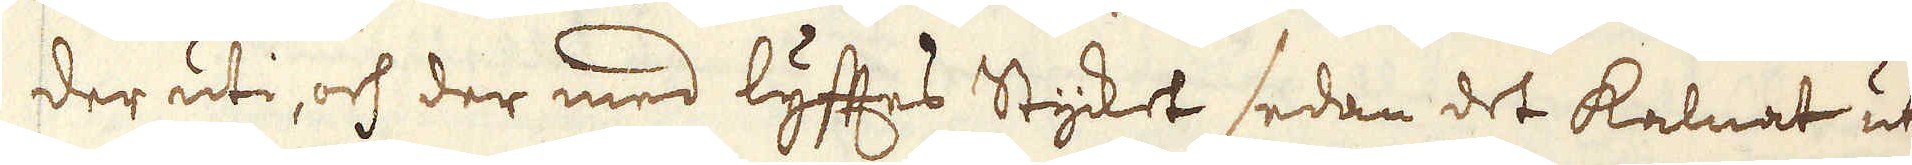der uti, och der med lyftes Stycket sedan det kalnat ut
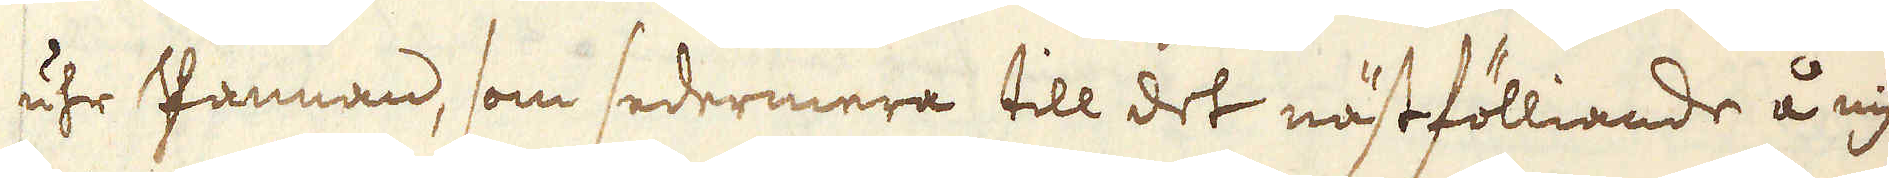uhr Pannan, som sedermera till det nästfölliande å nyo
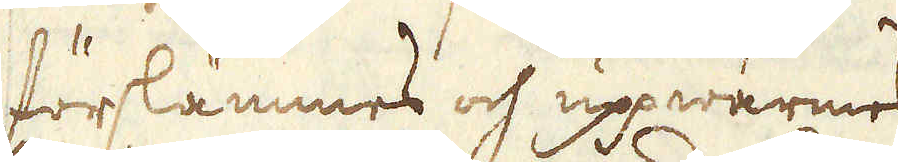förslämmes och uppwärmes
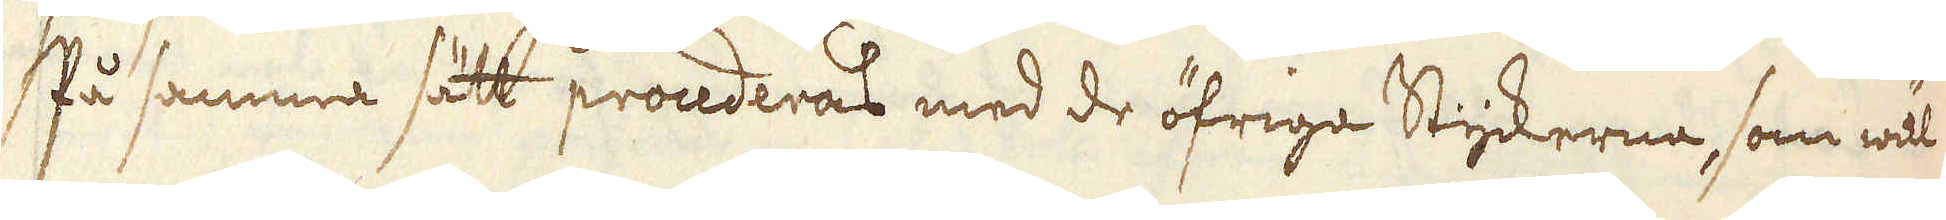På samma sätt procederas med de öfriga Styckerna, som wäl
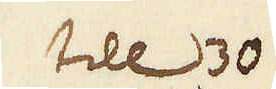till 330
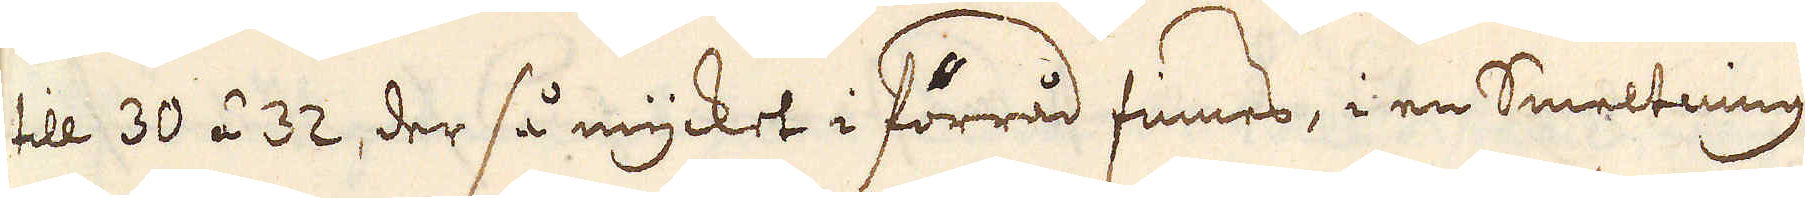till 30 á 32, der så mycket i förråd finnes, i en Smeltning
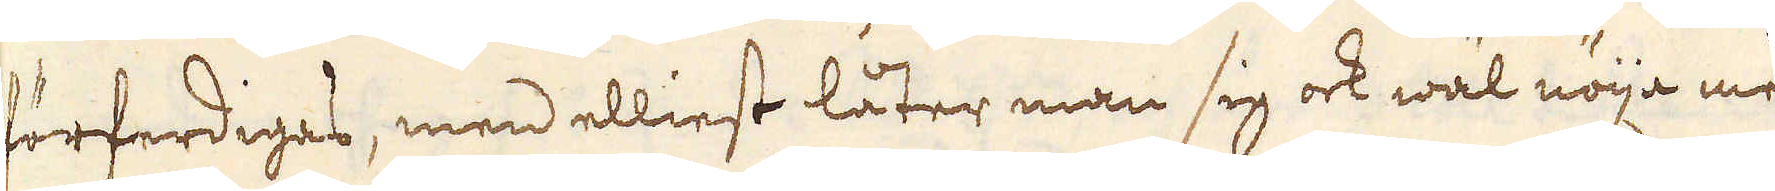förferdiges, men elliest låter man sig ock wäl nöija med
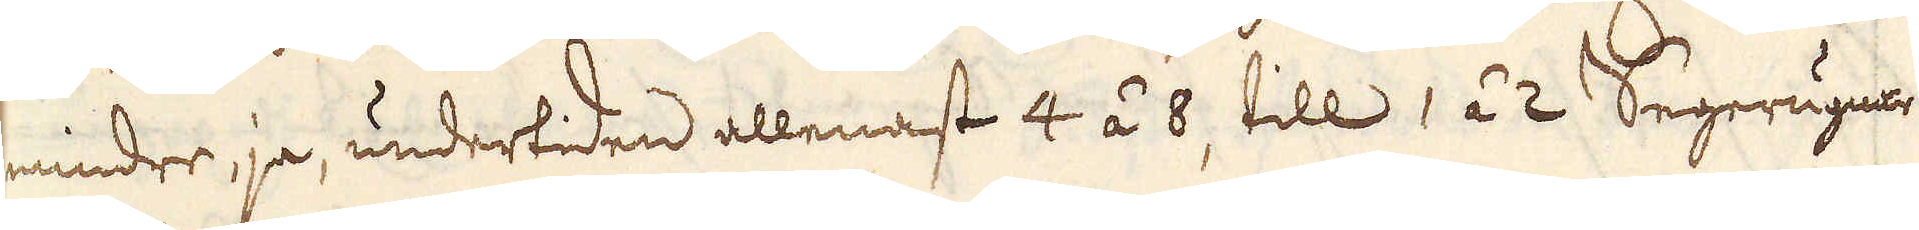mindre ja, undertiden allenast 4 á 8, till 1 á 2 Segerugnar.
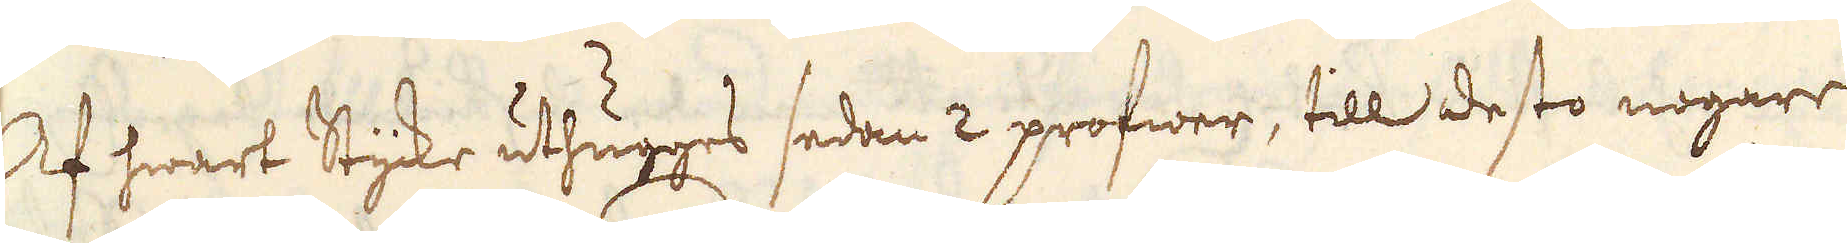Af hwart Styke uthugges sedan 2 profwer, till desto nogare
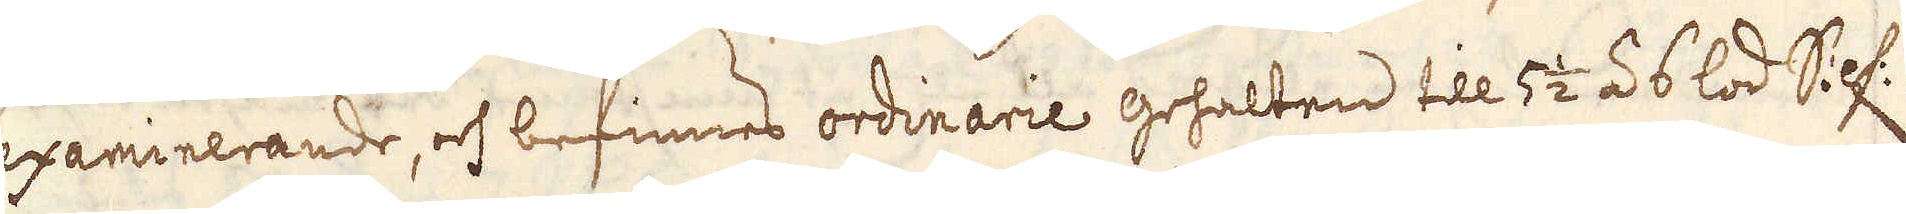examinerande, och befinnes ordinarie gehalten till 5 1/2 á 6 lod Silf:.
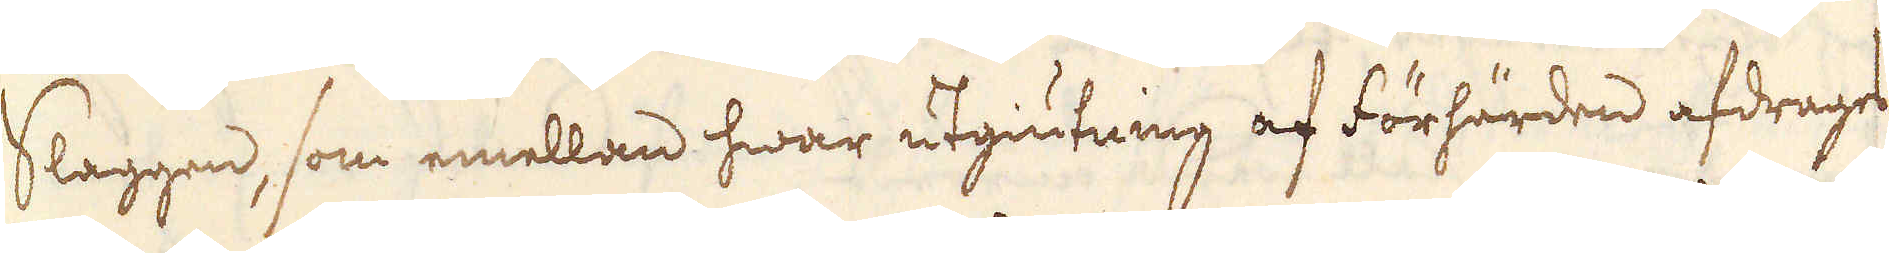Slaggen, som emellan hwar utgiutning af Förhärden afdrages
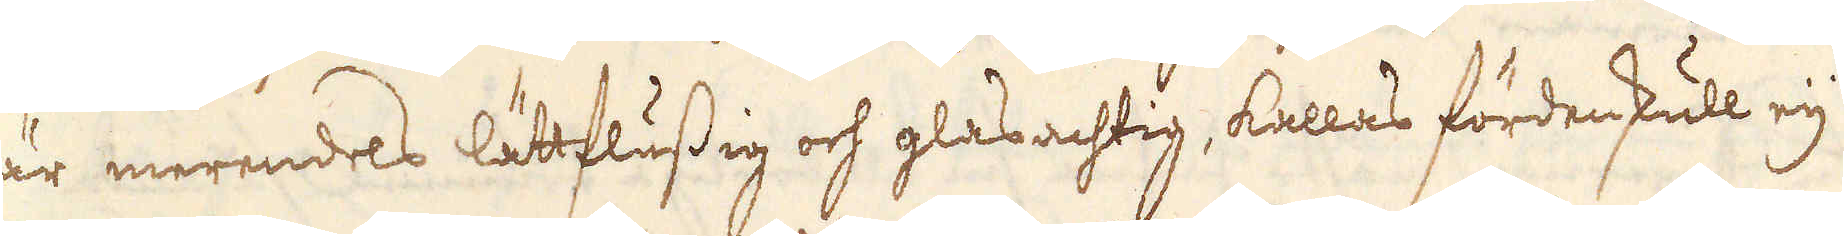är merendes lättflussig och glasachtig, kallas fördenskull eij
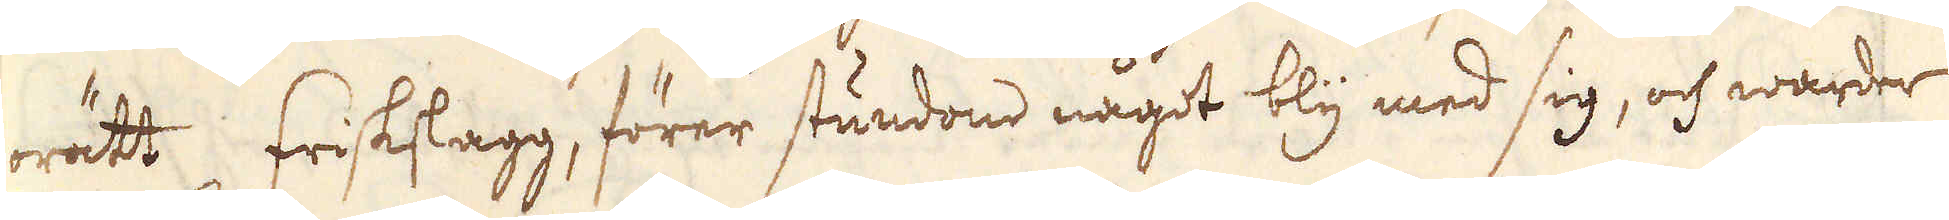orätt friskslagg, förer stundom något bly med sig, och warder
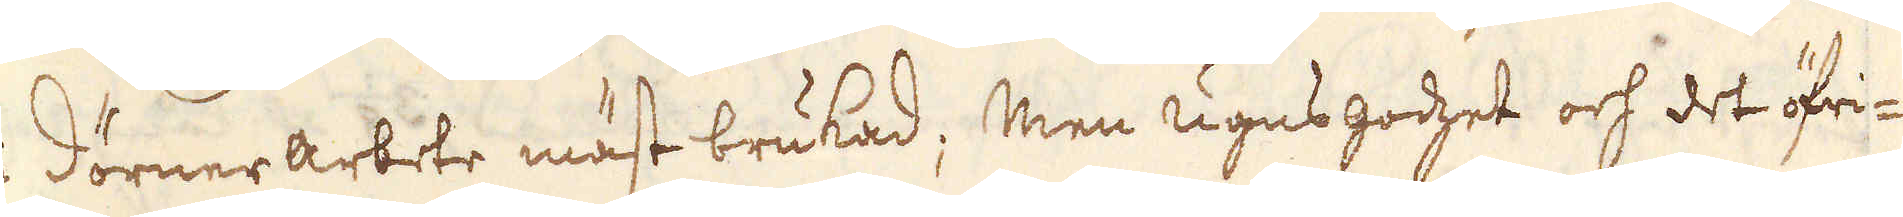i dörnerarbete mäst brukad; Men ugns godset och det öfri-
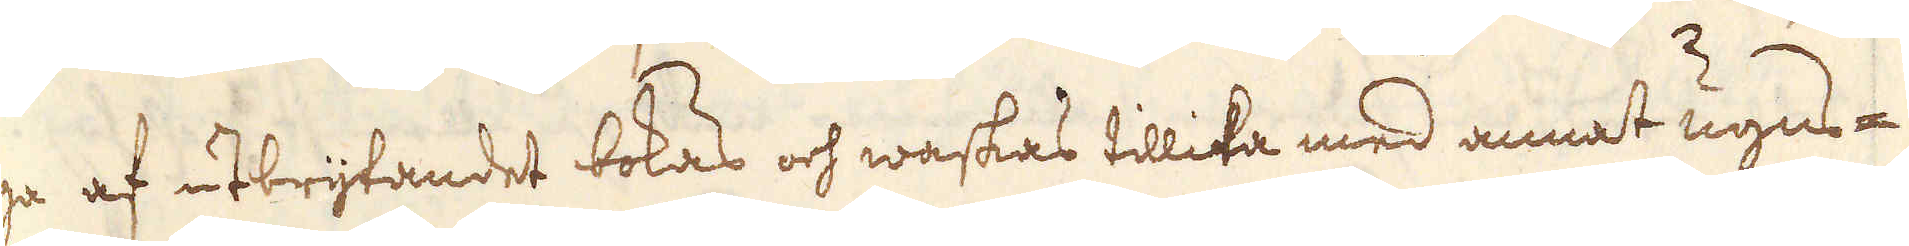ga af uttrytandet bokas och waskas tillika med annat ugns-
